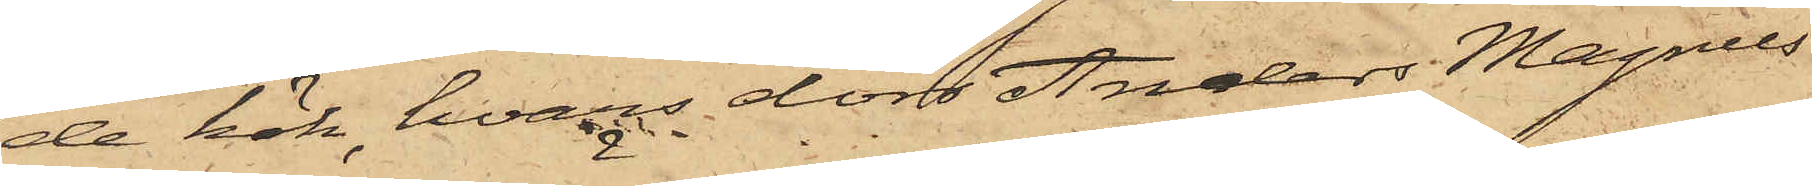de kök, hvars dörr Anders Magnus
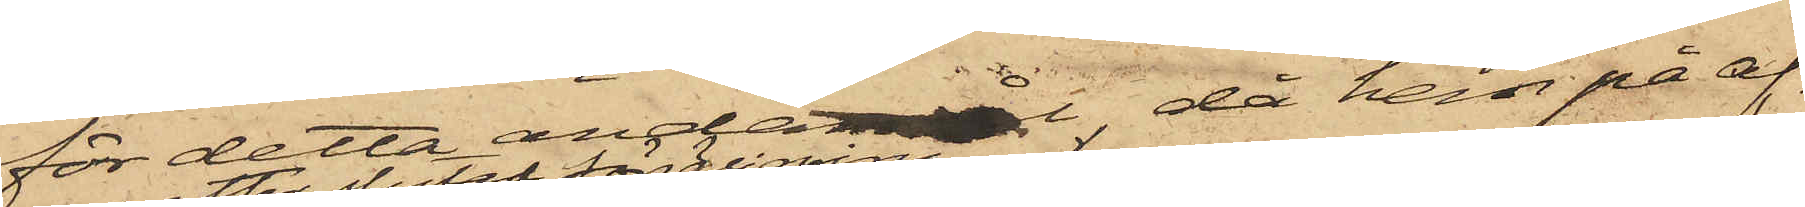för detta ändamål, då han på af¬
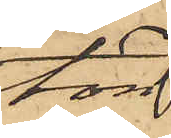ton
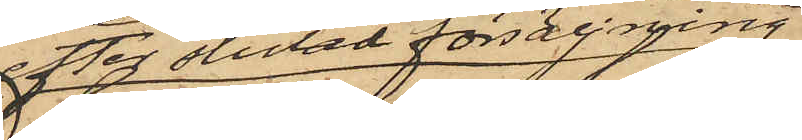efter slutad försäljning
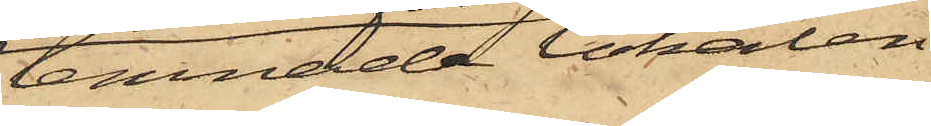lemnade lokalen,
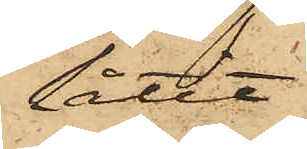låtit
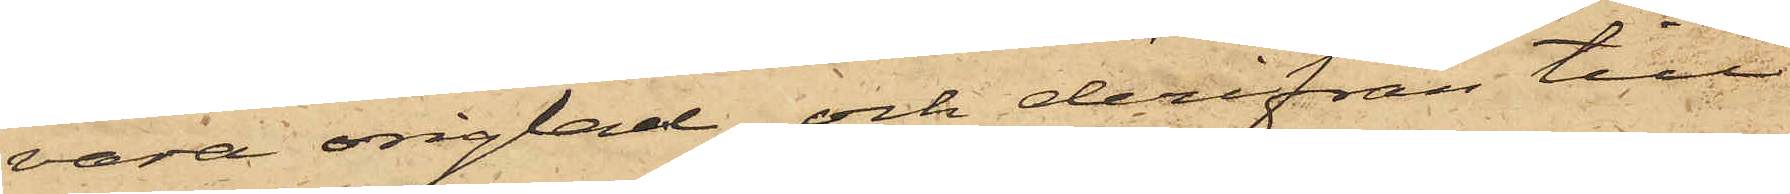vara origlad och derifrån till
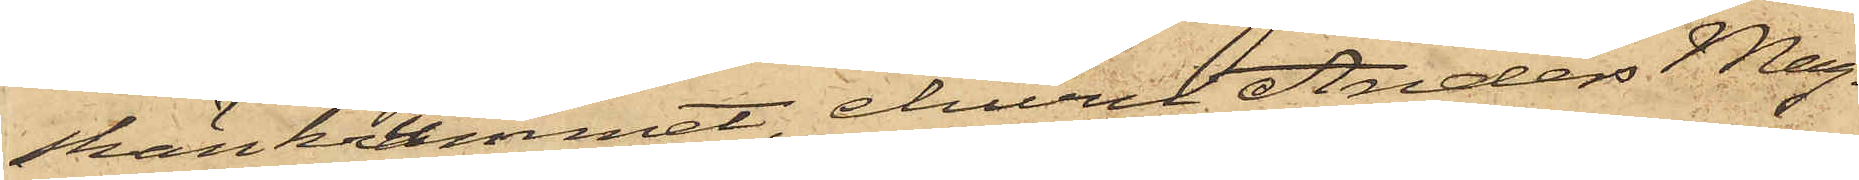skänkrummet, ehuru Anders Mag¬
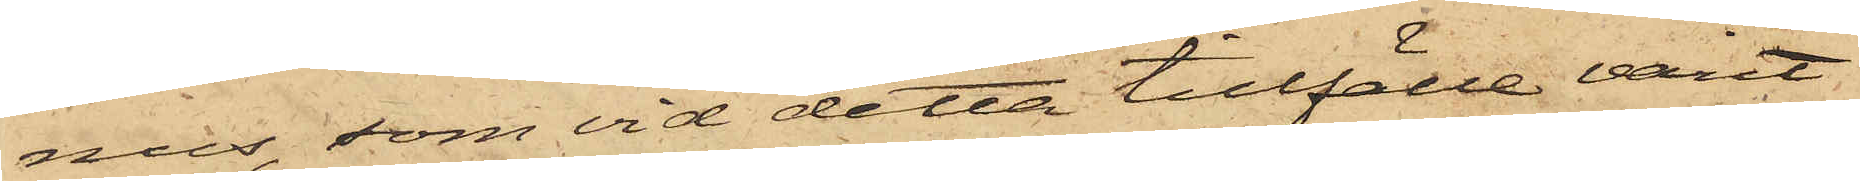nus, som vid detta tillfälle varit
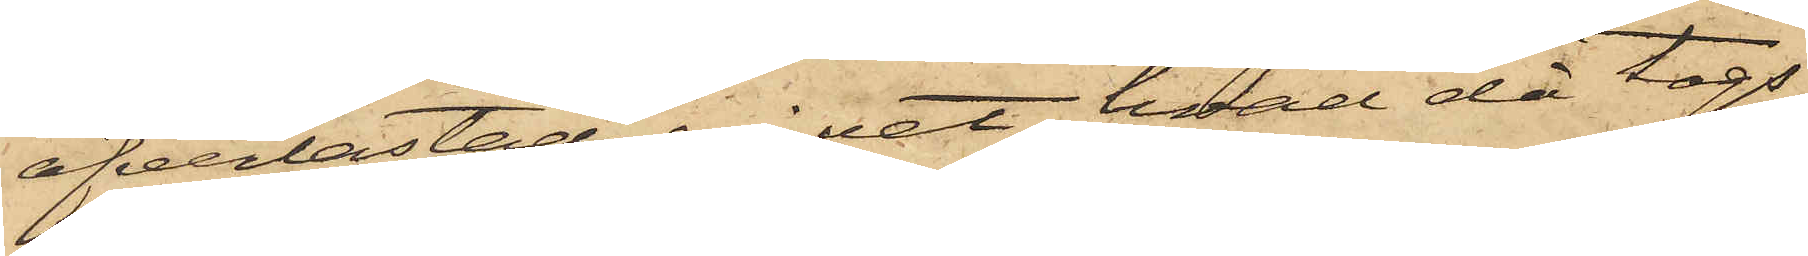öfverlastad, ej vet hvad då togs,
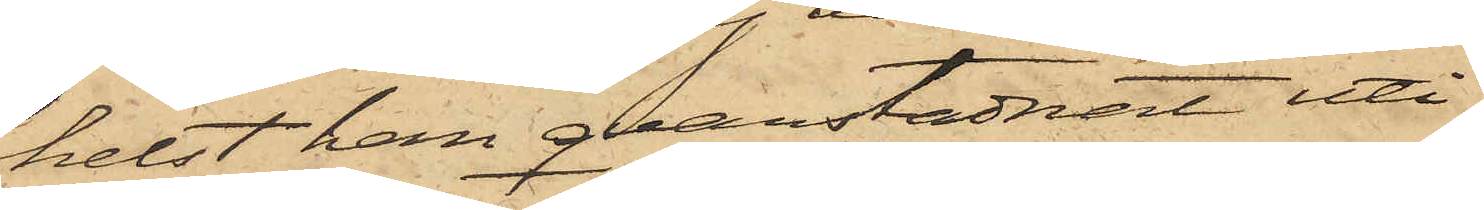helst han qvarstadnat uti
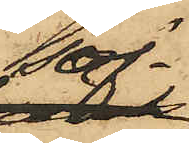sof¬
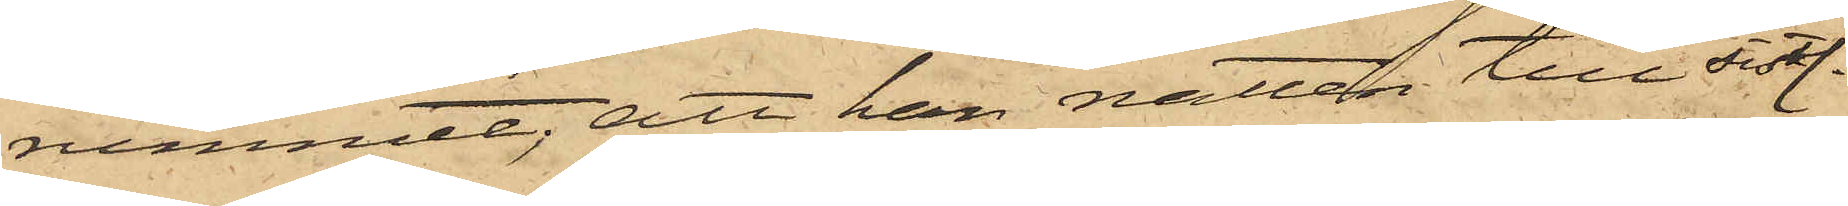rummet; att han natten till sistl.
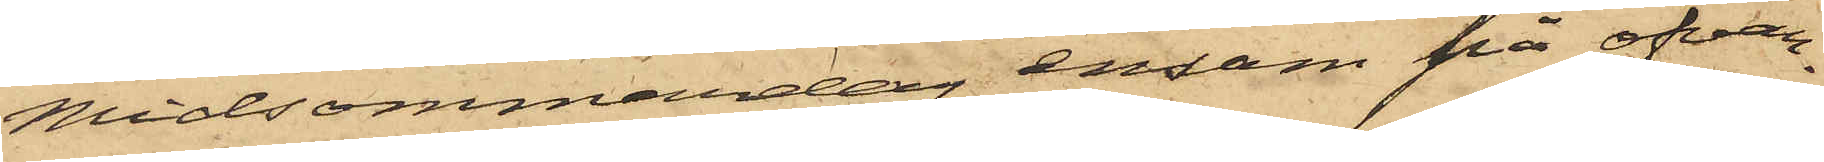Midsommardag ensam på ofvan¬
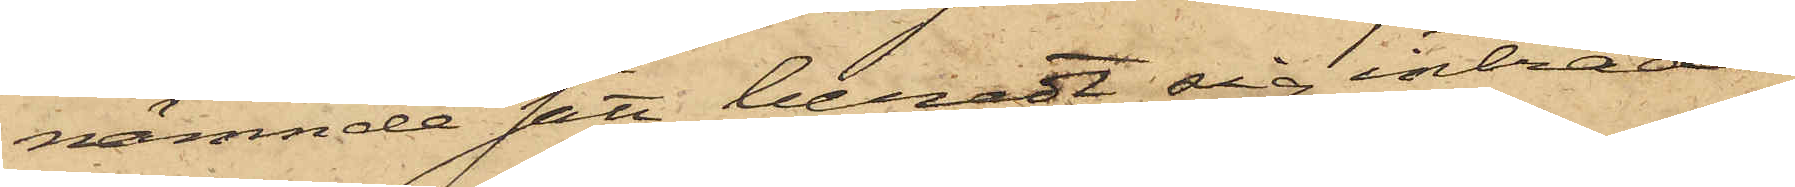nämnde sätt tillredt sig inträde
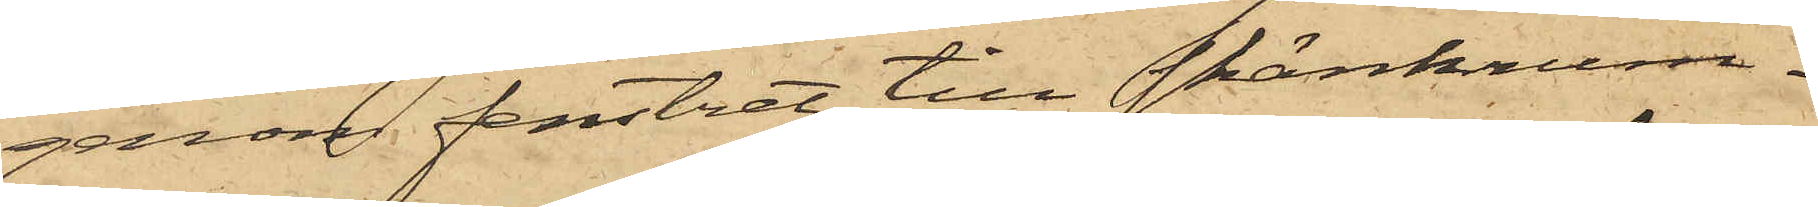genom fenstret till skänkrum¬
